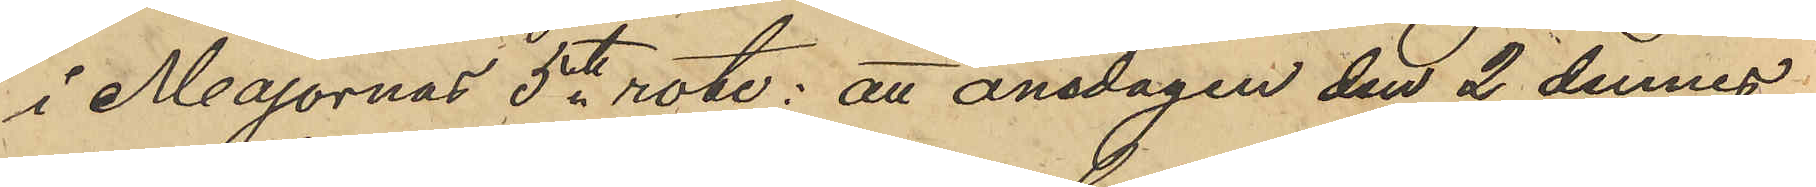i Majornas 5te rote; att onsdagen den 2 dennes
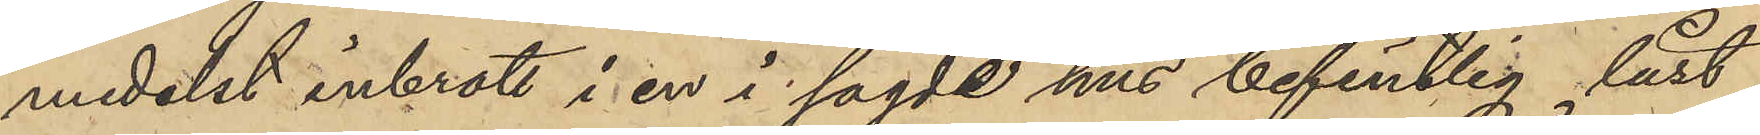medelst inbrott i en i sagde hus befintlig låst
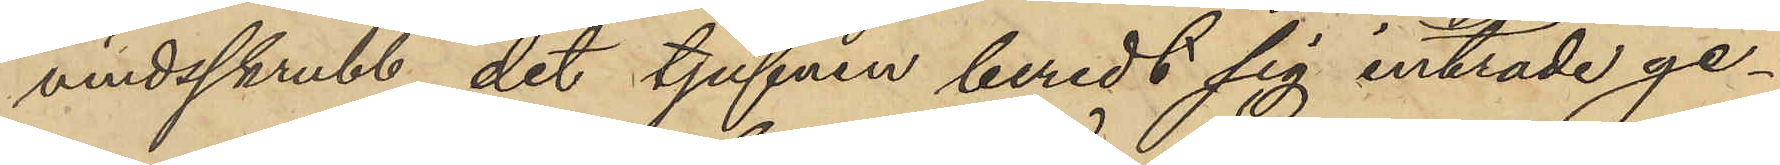vindsskrubb, dit tjufven beredt sig inträde ge¬
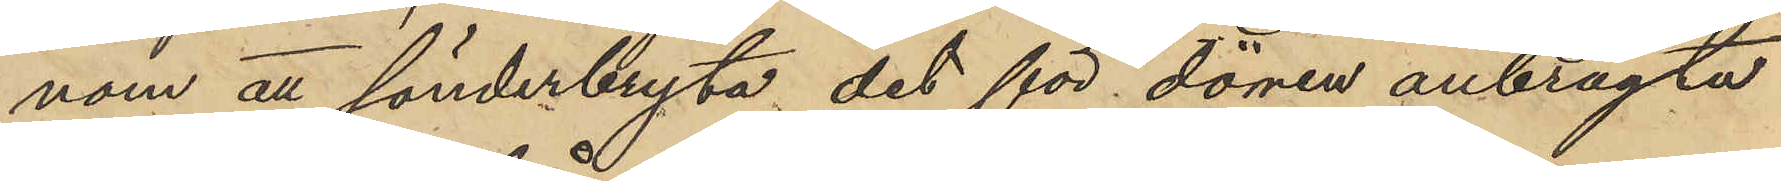nom att sönderbryta det för dörren anbragte
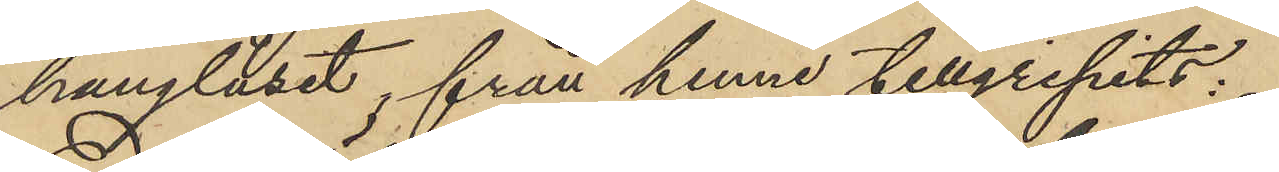hänglåset, från henne tillgripits:
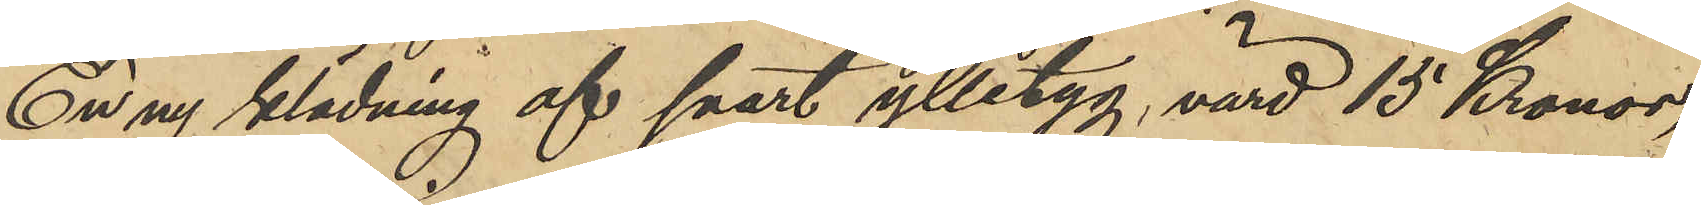En ny klädning af svart ylletyg, värd 15 Kronor,
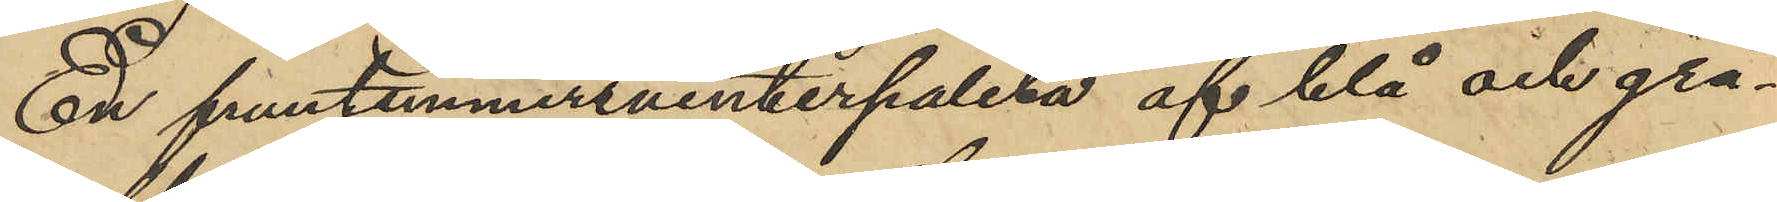En fruntimmersvinterpaletå af blå och grå¬
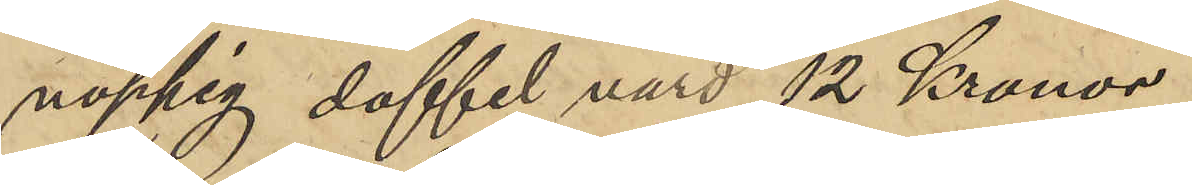noppig doffel värd 12 Kronor,
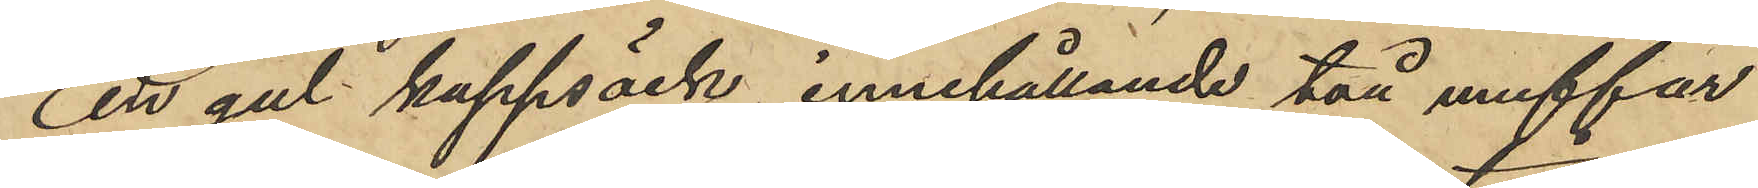En gul kappsäck, innehållande två muffar
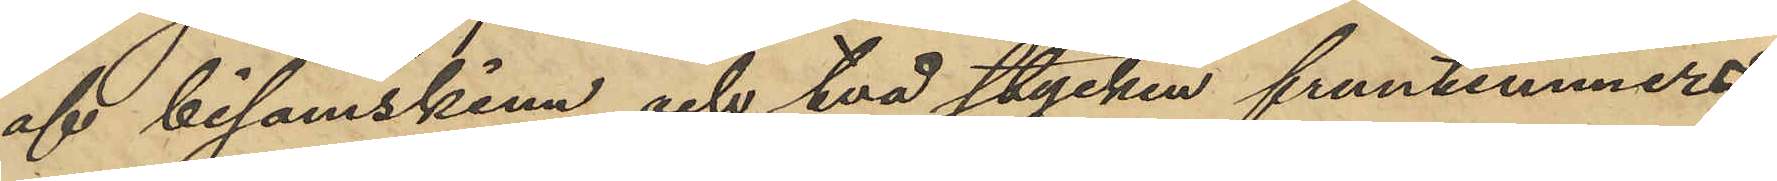af bisamskinn och två stycken fruntimmers¬
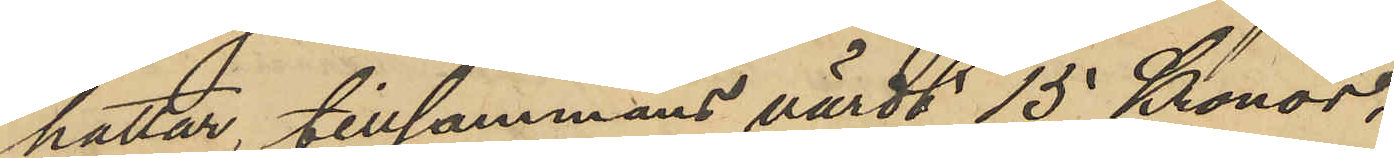hattar, tillsammans värdt 15 Kronor,
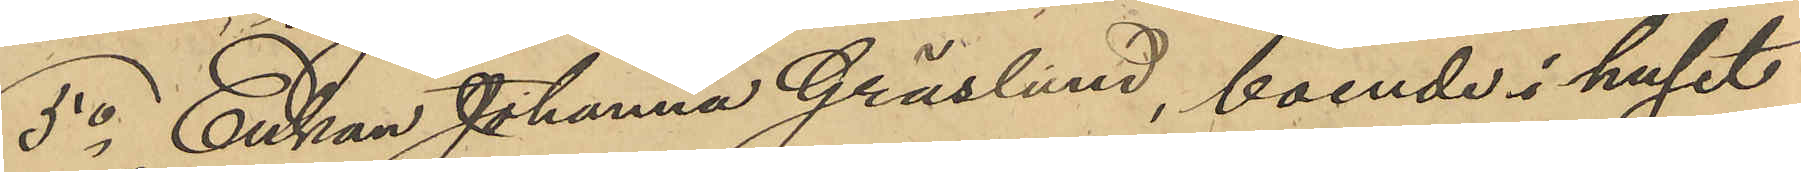5o Enkan Johanna Gräslund, boende i huset
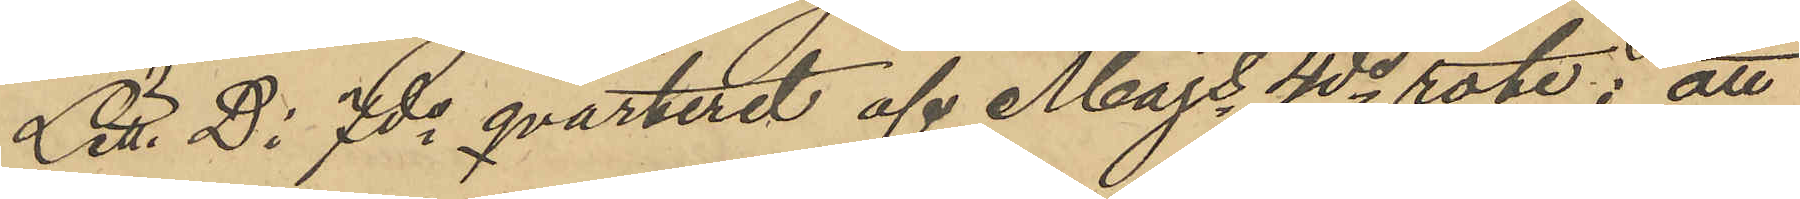Litt. D: 7de qvarteret af Majs 4de rote; att
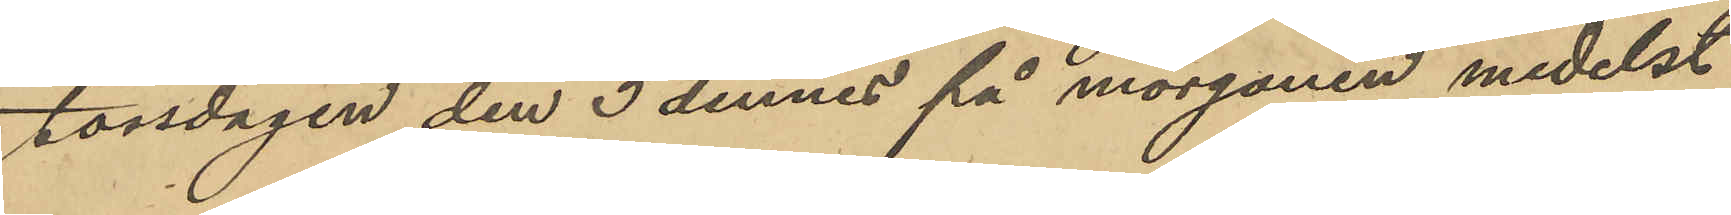torsdagen den 3 dennes på morgonen medelst
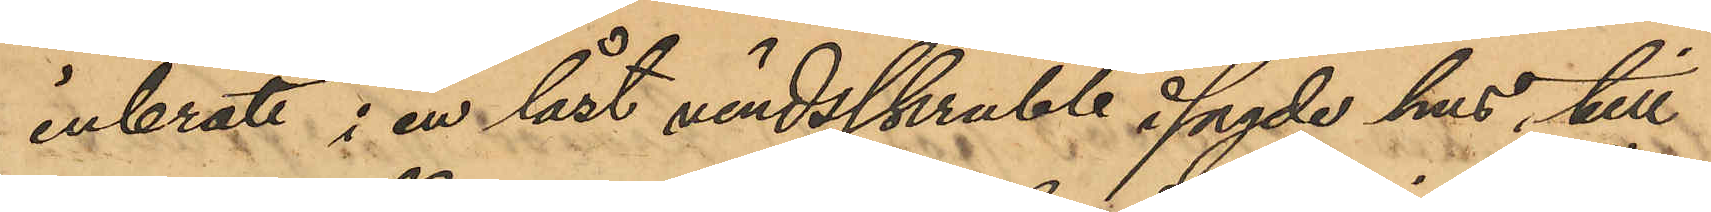inbrott i en låst vindsskrubb i sagde hus, till
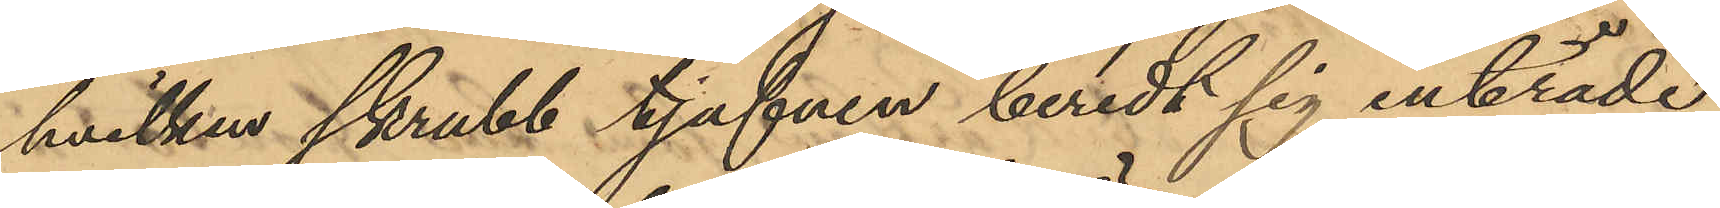hvilken skrubb tjufven beredt sig inträde
